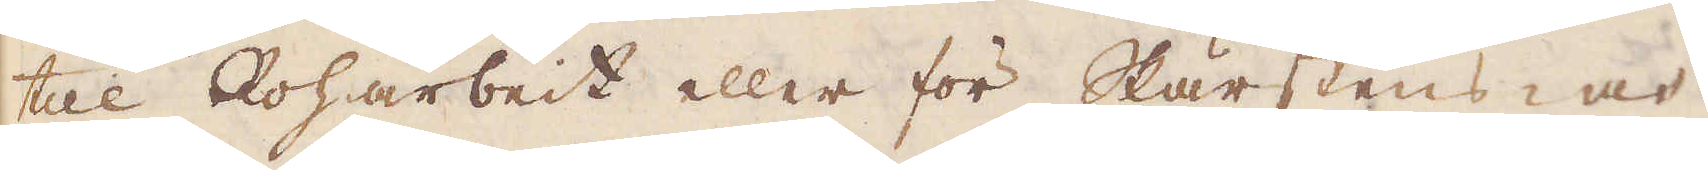till Roharbeit eller för Skärstens- och
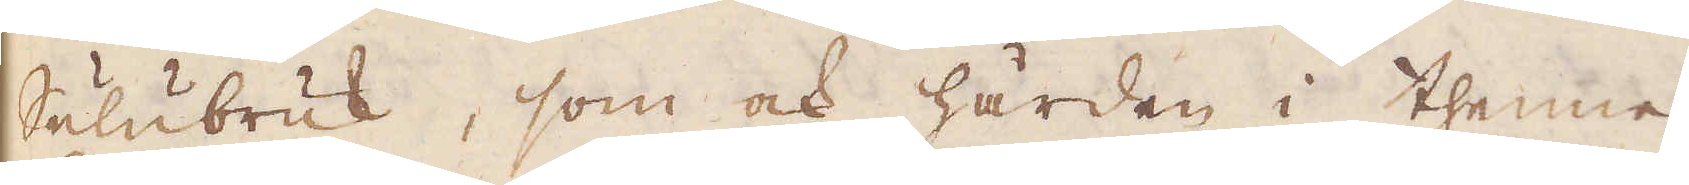Sulubruk, som ock härden i thenne
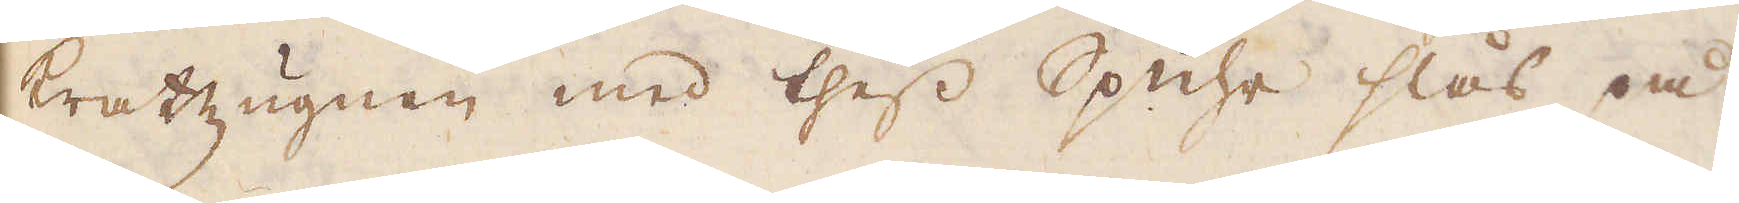Kratzugnen med thess Spuhr slås på
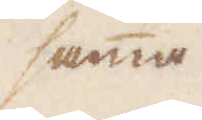samma
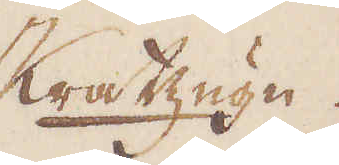Kratzugn.
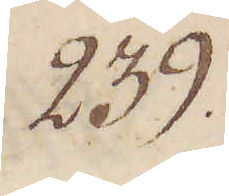239.
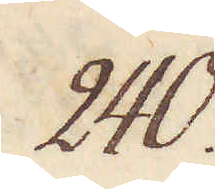240.
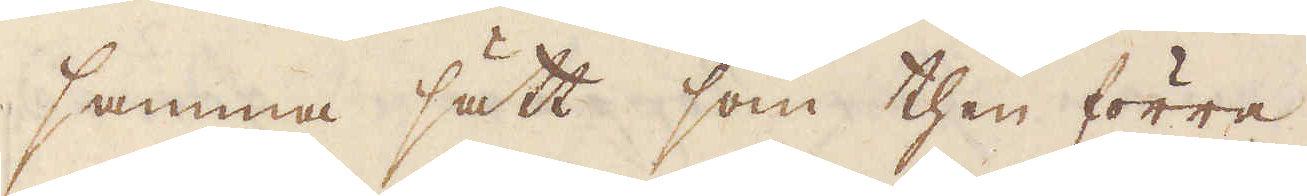samma sätt som then förra.
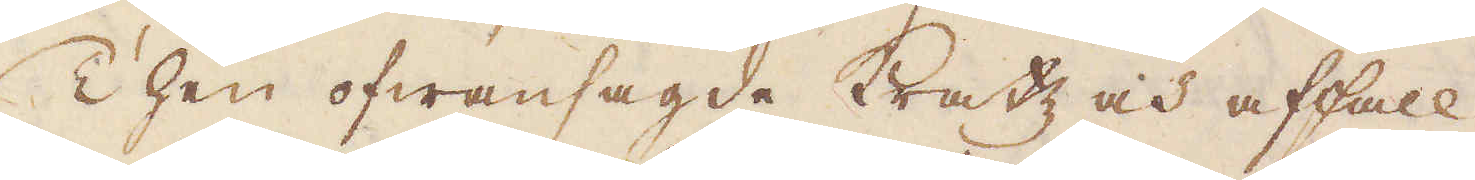Then ofwansagde kratz och affall
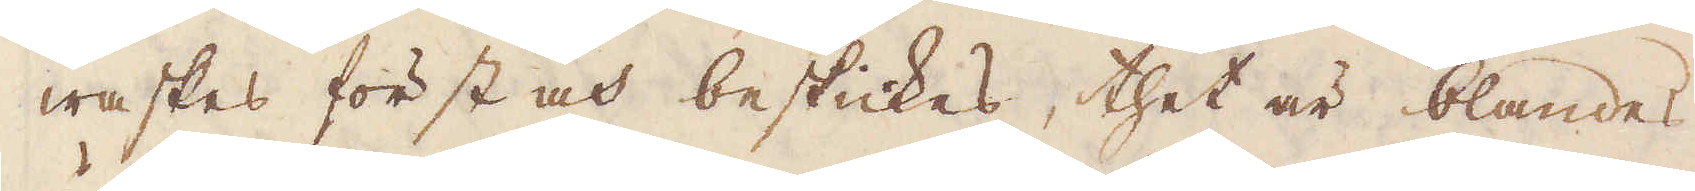waskas först och beskickes, thet är blandes
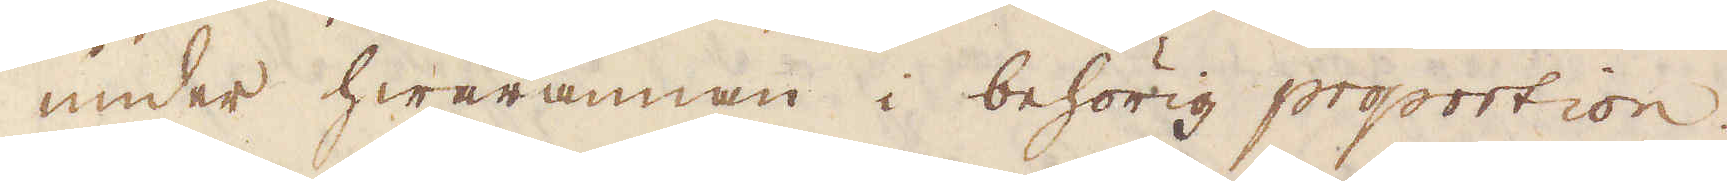under hwarannan i behörig proportion.
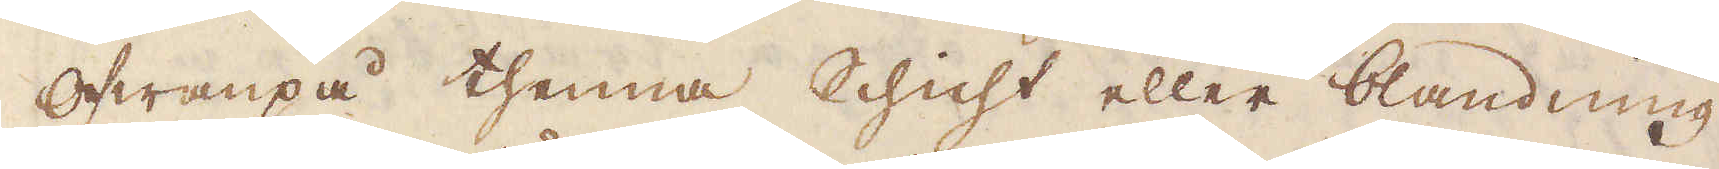Ofwanpå thenna Schicht eller blandning
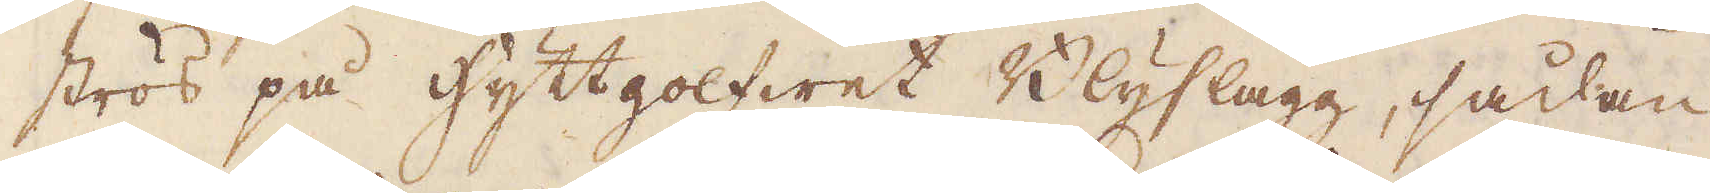strös på hyttgolfwet Blyslagg, sådan
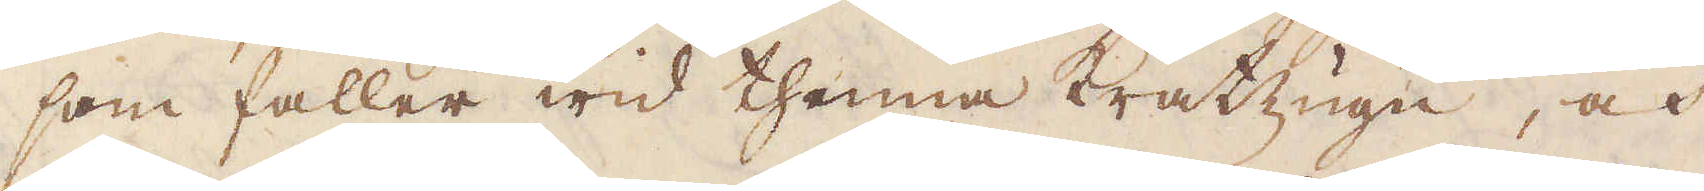som faller wid thenna Kratzugn, och
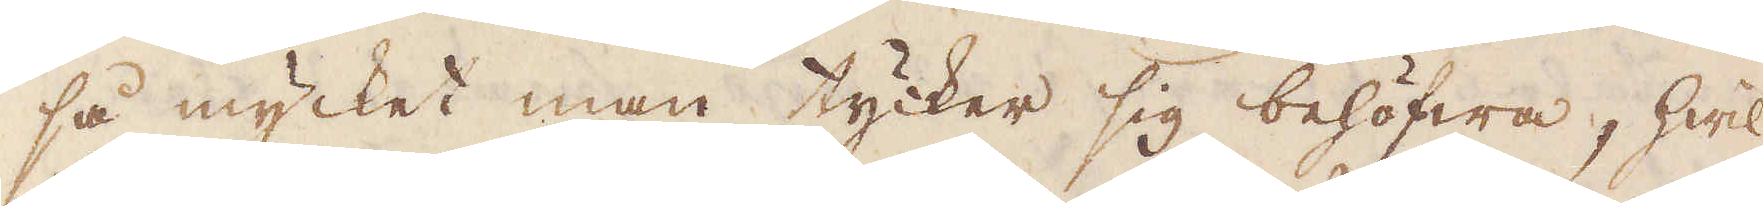så mycket man tycker sig behöfwa, hwil-
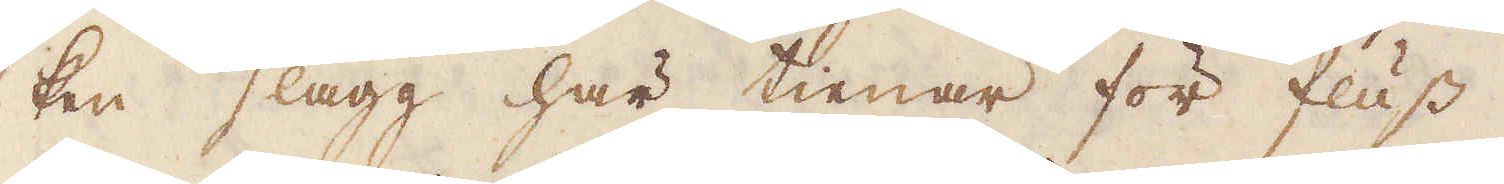ken slagg här tienar för fluss.
